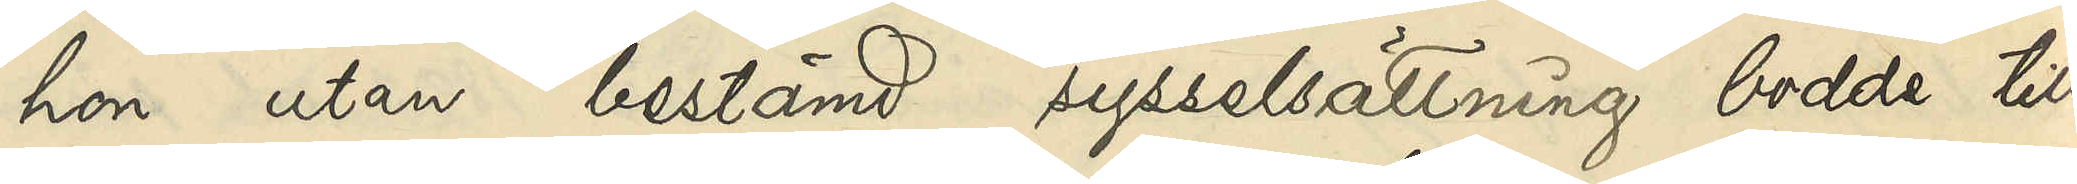hon utan bestämd sysselsättning bodde till
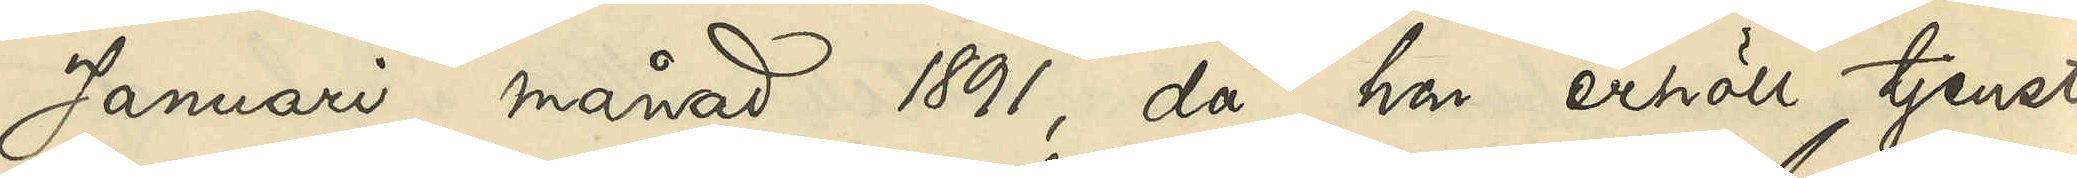Januari månad 1891, då hon erhöll tjenst
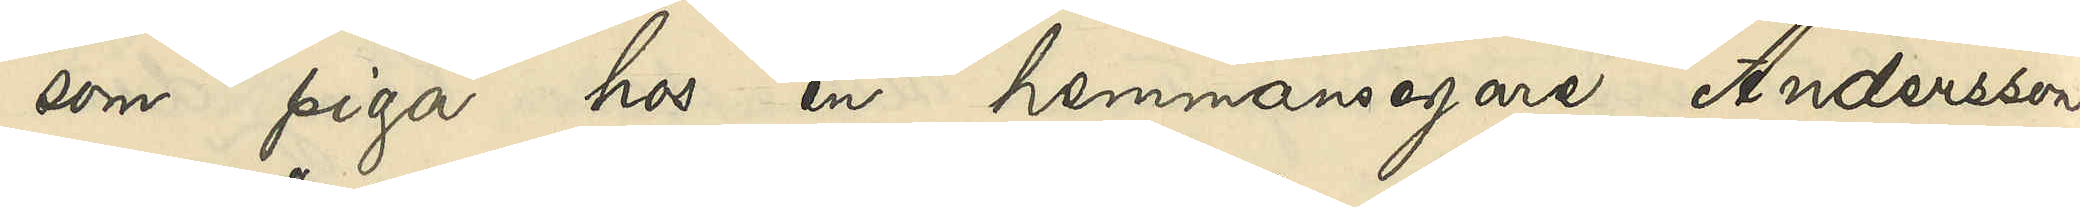som piga hos en hemmansegare Andersson
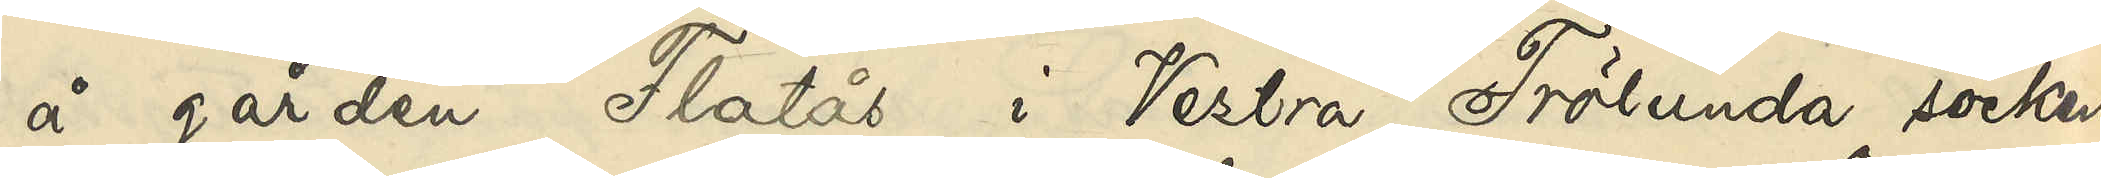å gården Flatås i Vestra Frölunda socken.
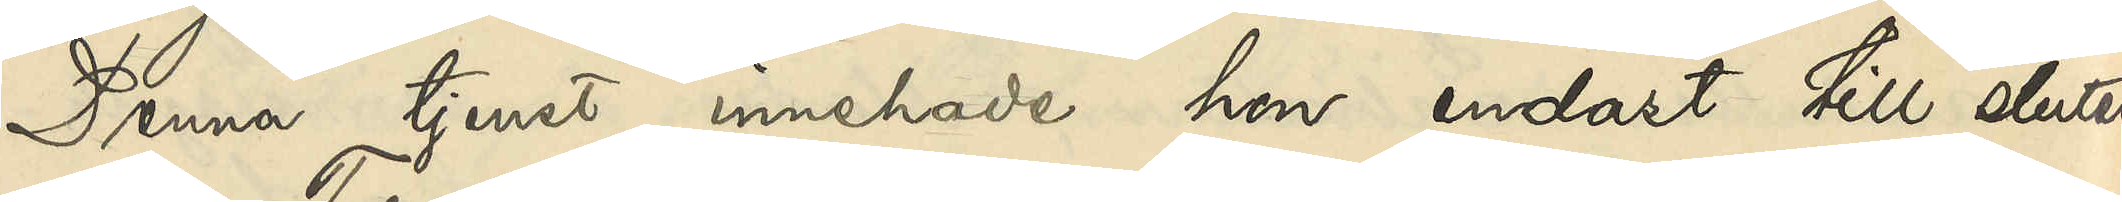Denna tjenst innehade hon endast till slutet
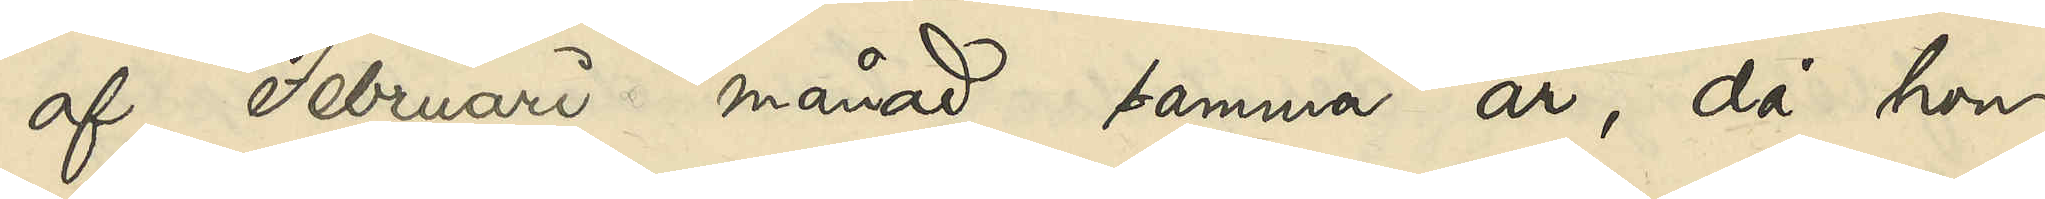af Februari månad samma år, då hon
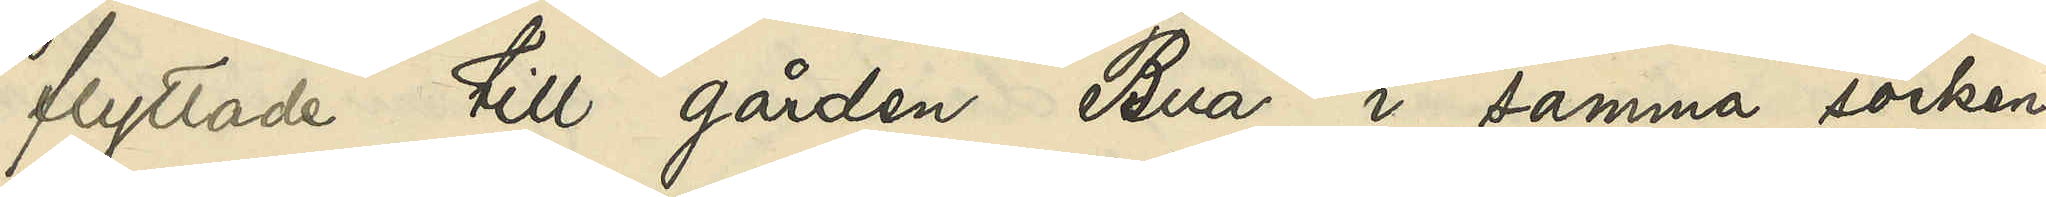flytade till gården Bua i samma socken,
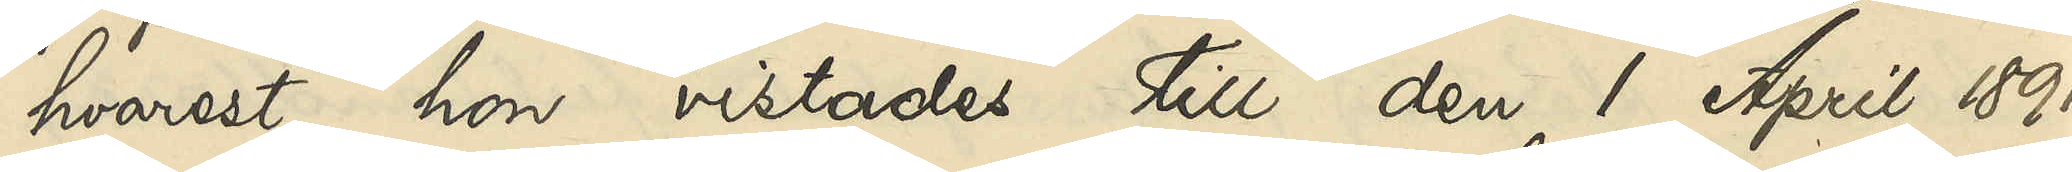hvarest hon vistades till den 1 April 1891,
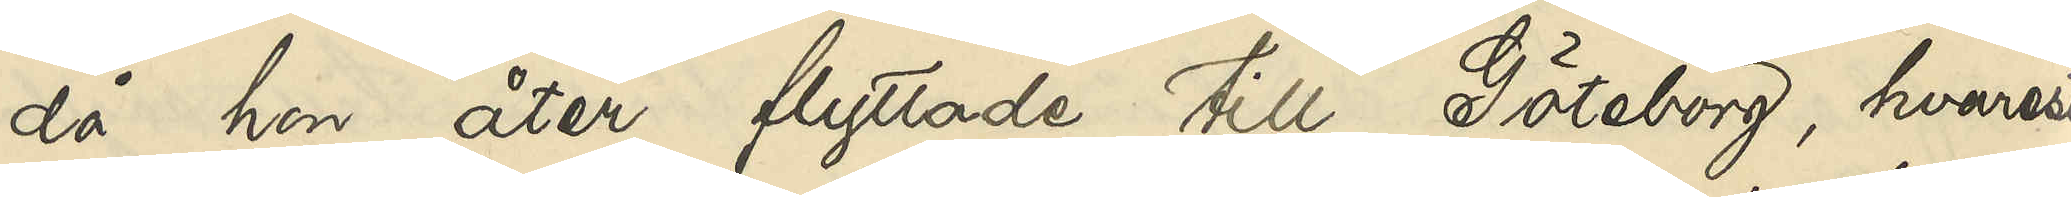då hon åter flyttade till Göteborg, hvarest
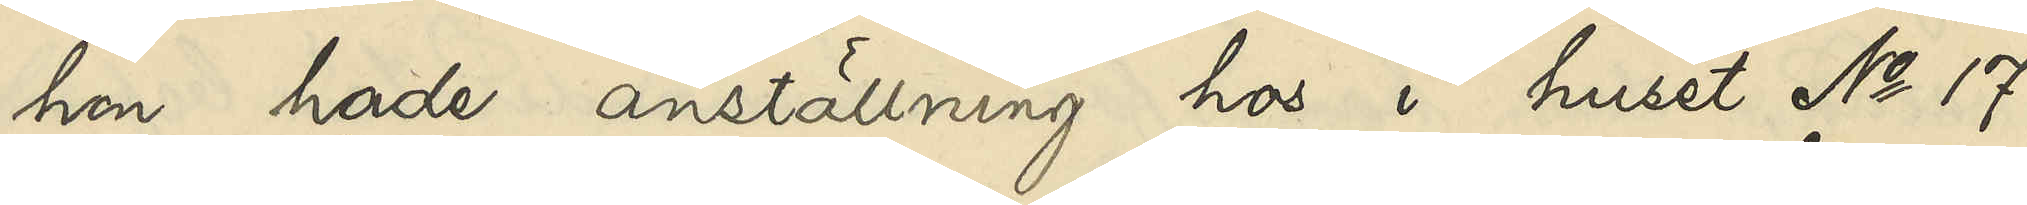hon hade anställning hos i huset No 17
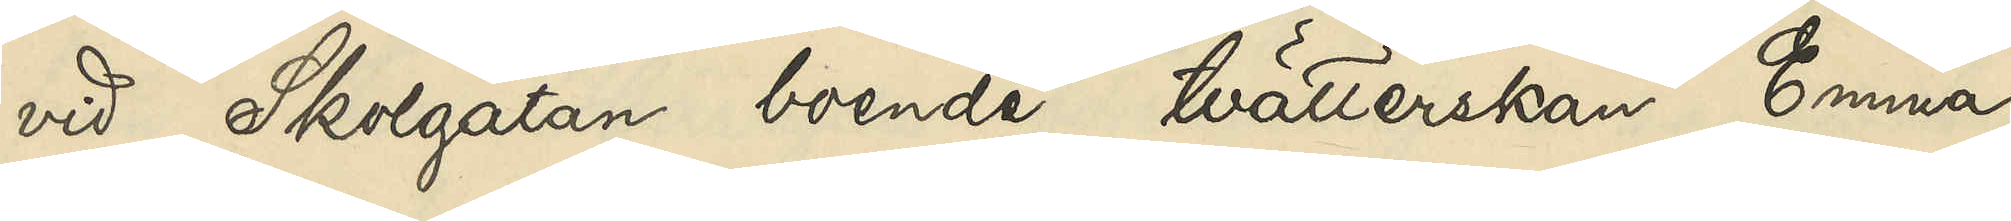vid Skolgatan boende tvätterskan Emma
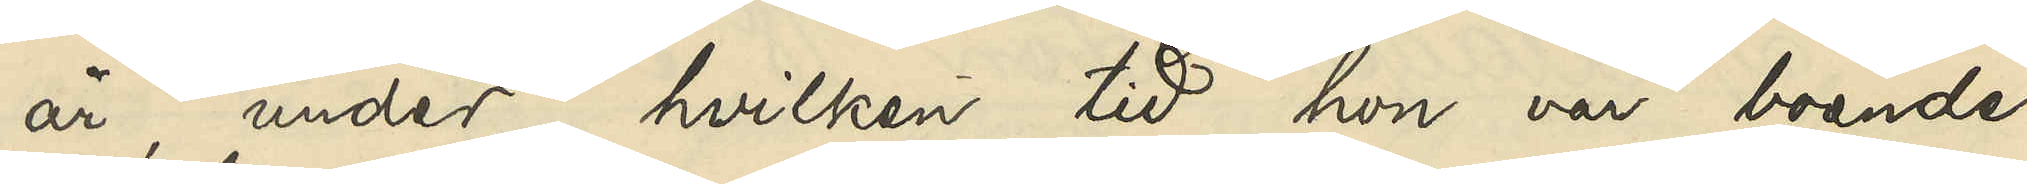år, under hvilken tid hon var boende
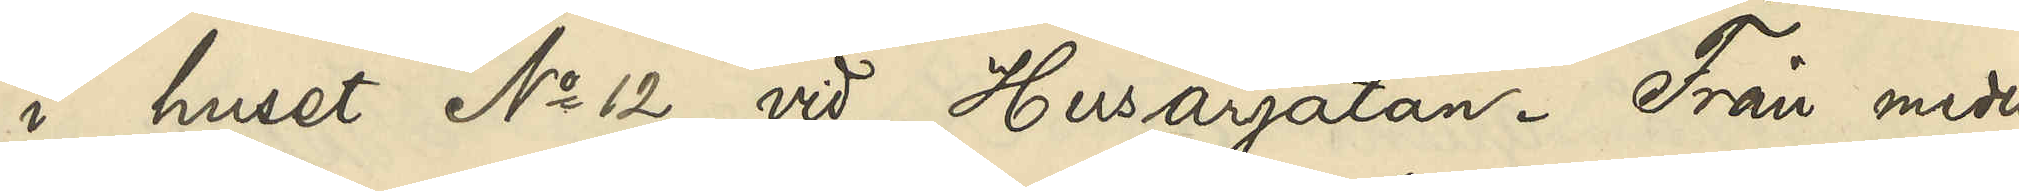i huset No 12 vid Husargatan. Från medio
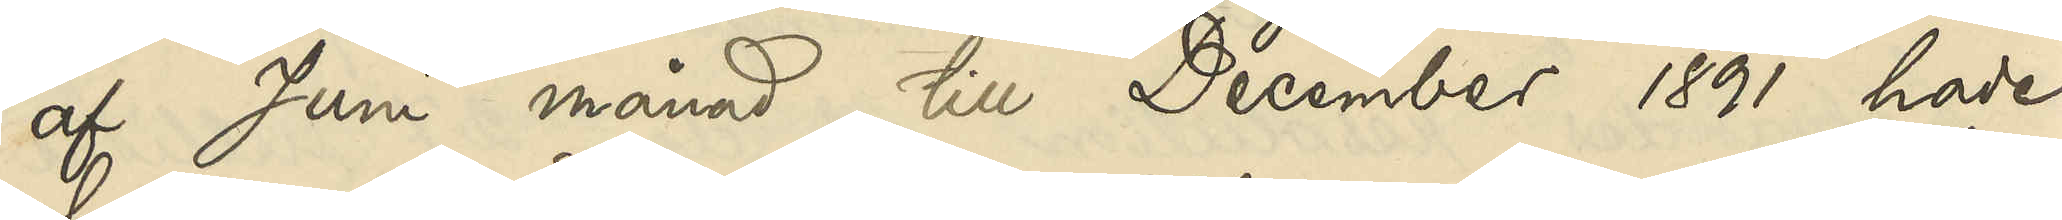af Juni till December 1891 hade
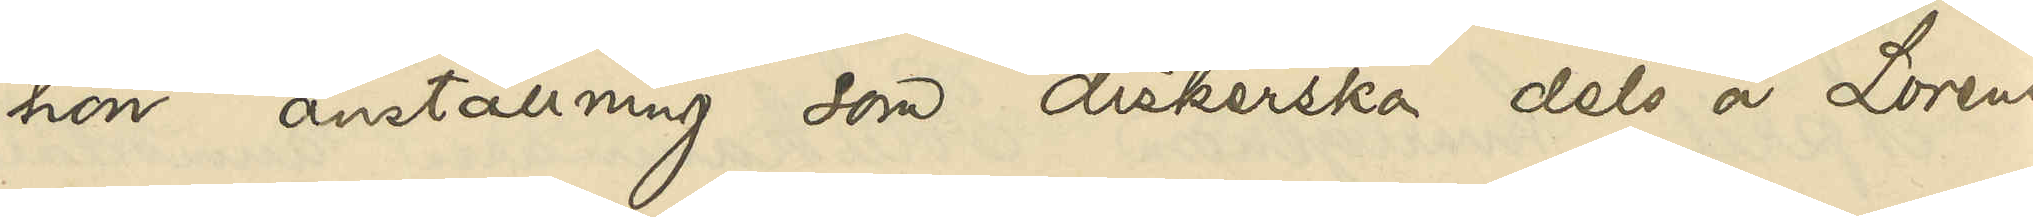hon anställning som diskerska dels å Lorens¬
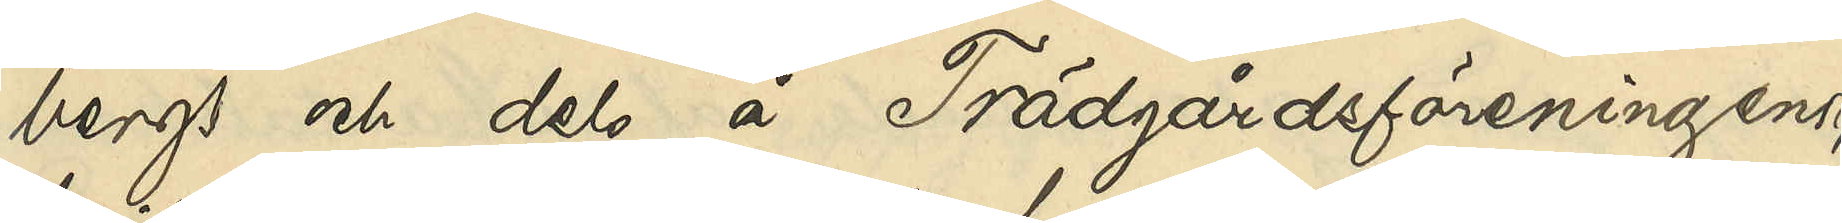bergs och dels å Trädgårdsföreningens
